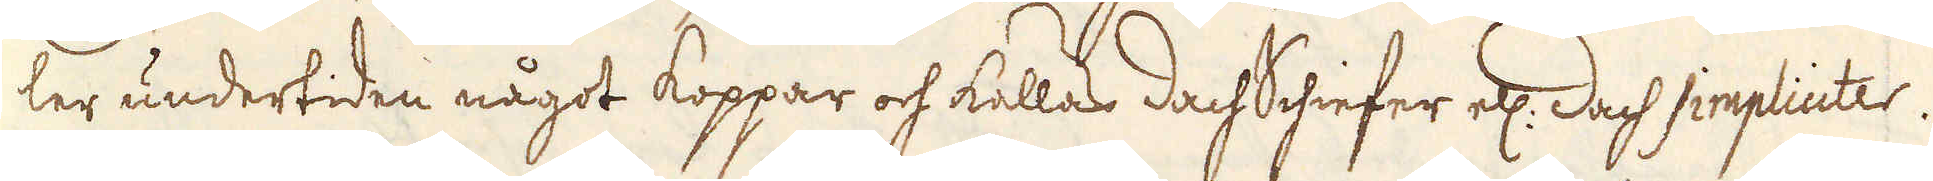ler undertiden något koppar och kallas dach Schiefer ell: dach simpliciter.
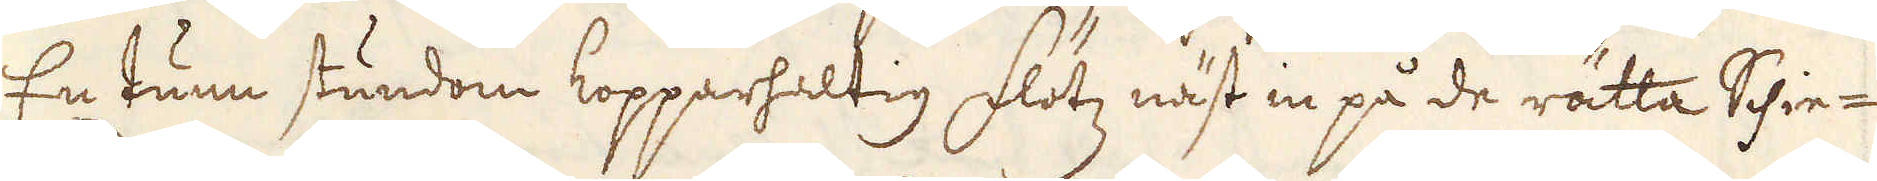/9. En tunn stundom kopparhaltig flötz näst in på de rätta Schie-
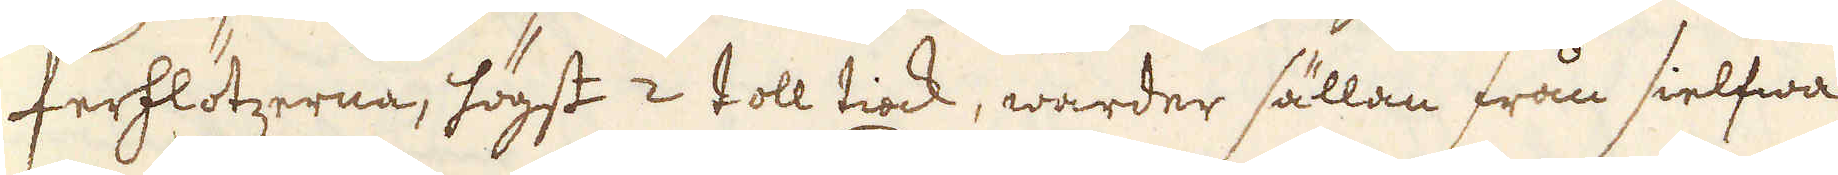ferflötzerna, högst 2 toll tiock, warder sällan från sielfwa
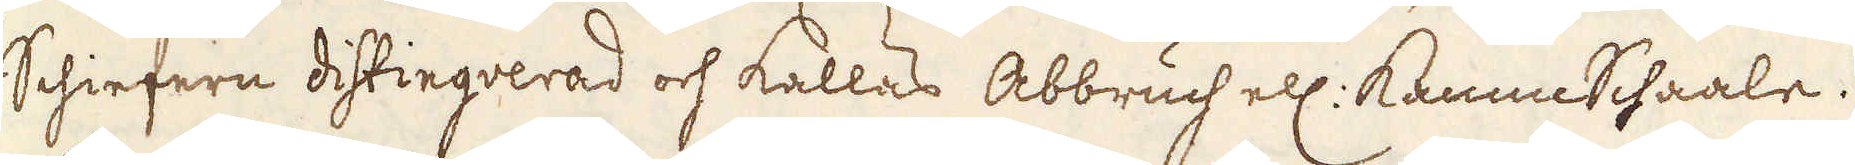Schiefern distinguerad och kallas Abbruch ell: Kamm Schaale.
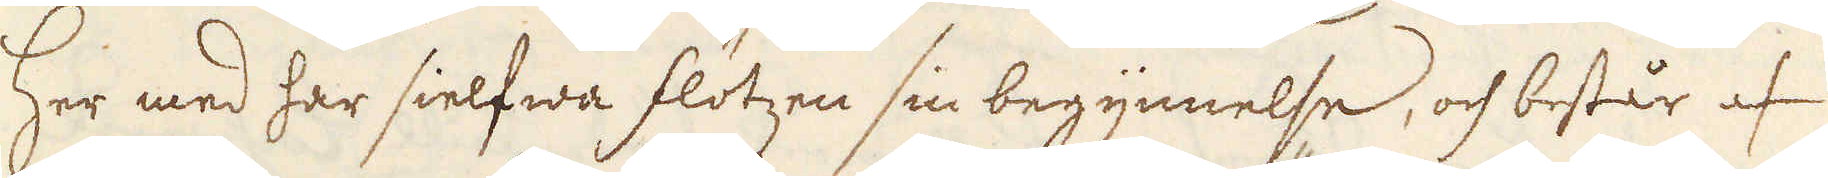/10. Her med har sielfwa flötzen sin begynnelse, och består af
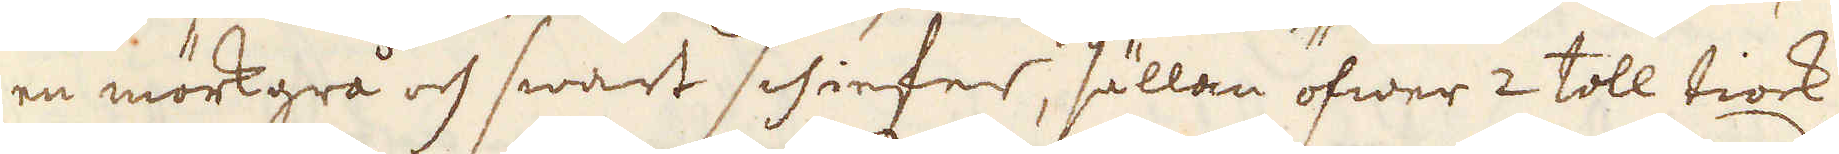en mörkgrå och swart schiefer, sällan öfwer 2 toll tiock,
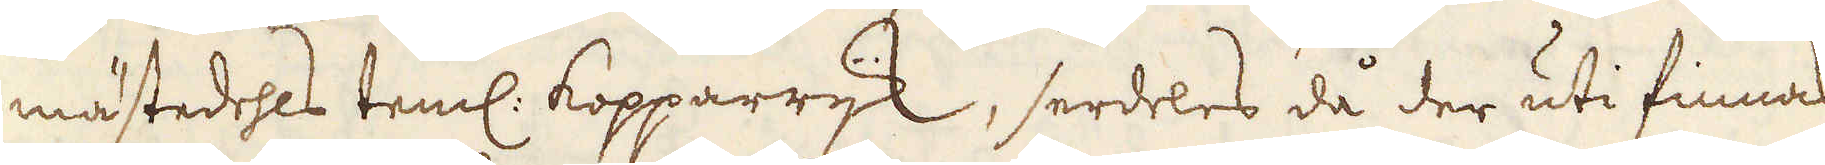mästedehls teml: Kopparrijk, serdeles då der uti finnas
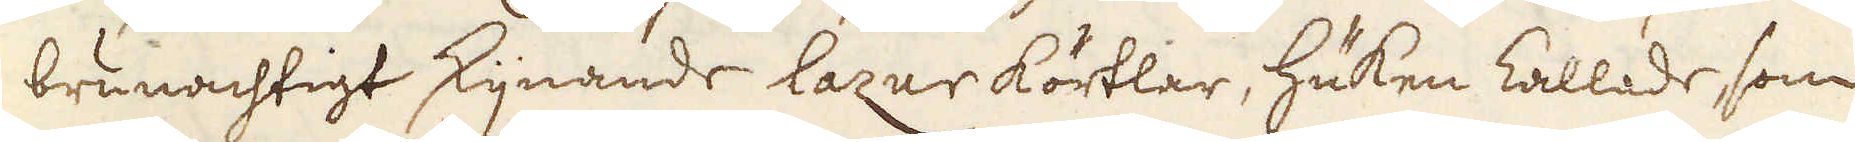brunachtigt skijnande lazur körtlar, Huken kallade, som
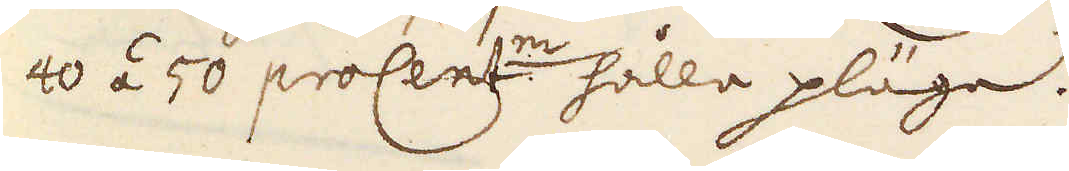40 á 50 proCent:m hålla pläga.
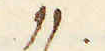/11.
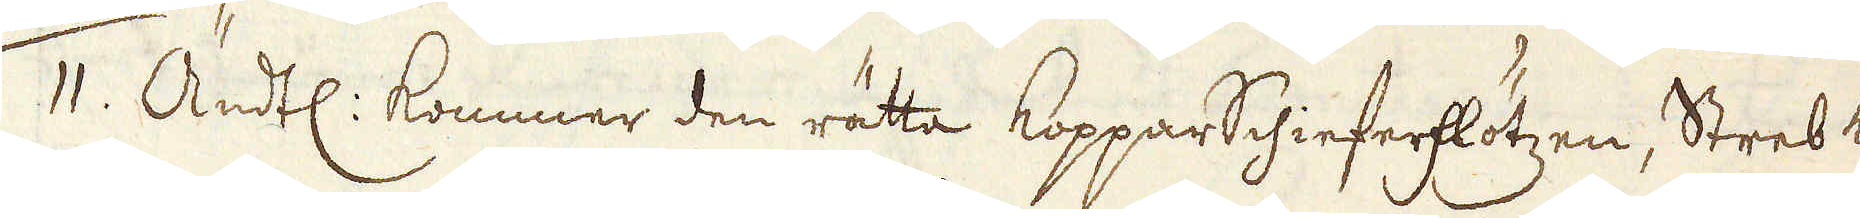/11. Ändtl: kommer den rätta KopparSchieferlötzen, Streb kal:,
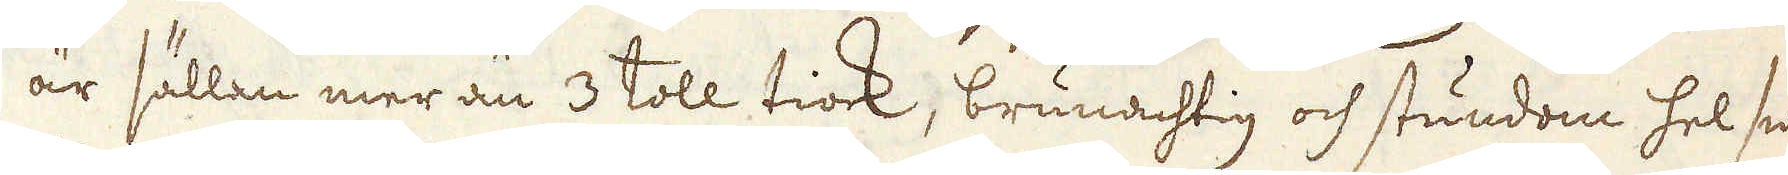är sällan mer än 3 toll tiock, brunachtig och stundom hel swart
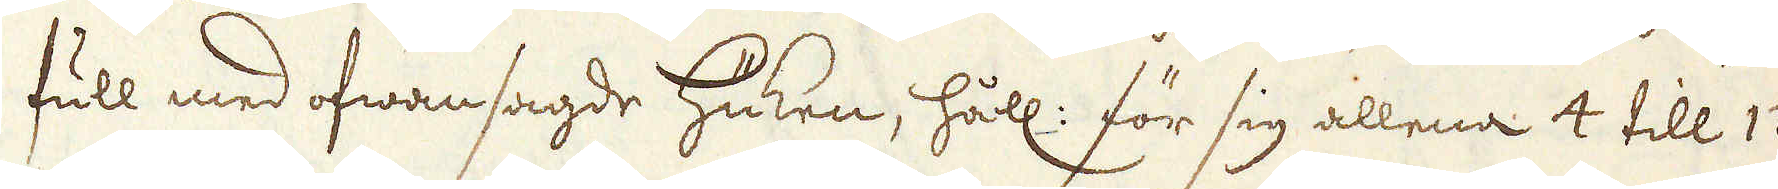full med ofwansagde Huken, håll: för sig allena 4 till 12
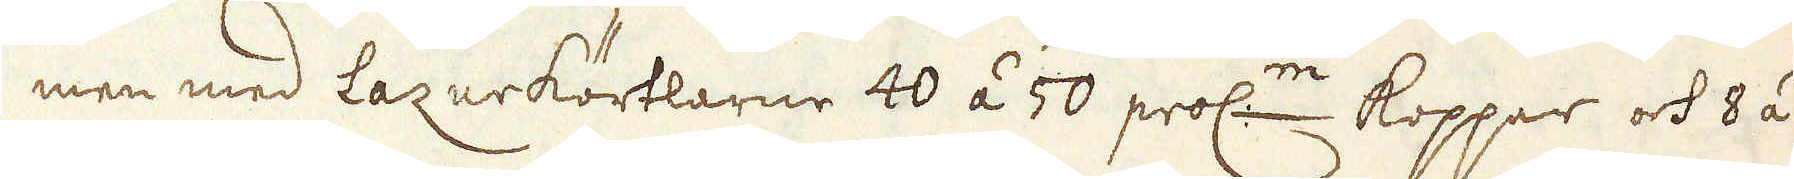men med Lazurkörtlarne 40 á 50 proc:m koppar och 8 á
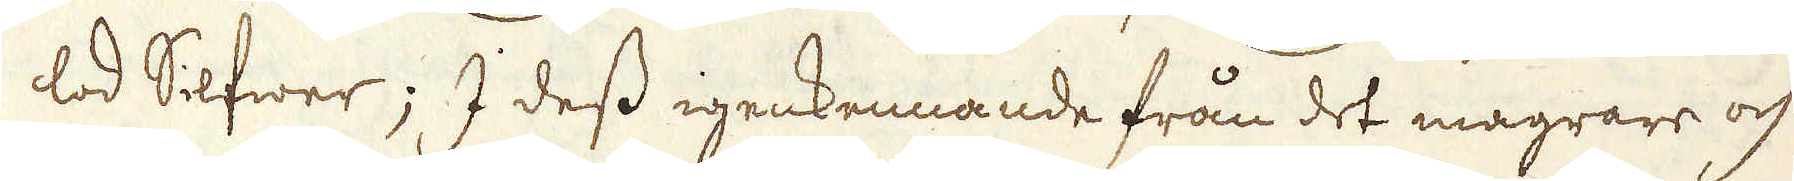lod Silfwer; I dess igenkennande från det magrare och o-
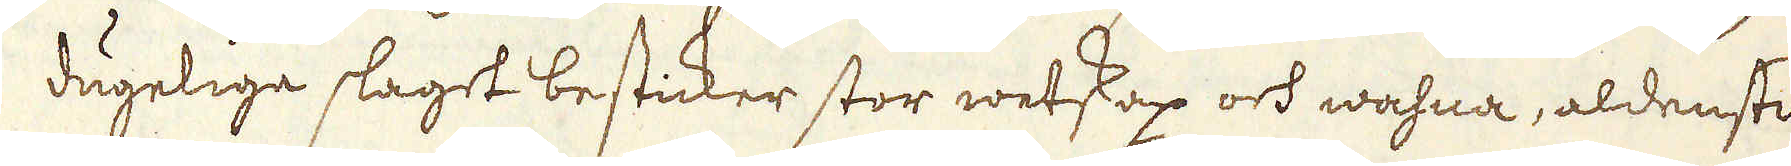dugeliga slaget besticker stor wetskap och wahna, aldenstund
